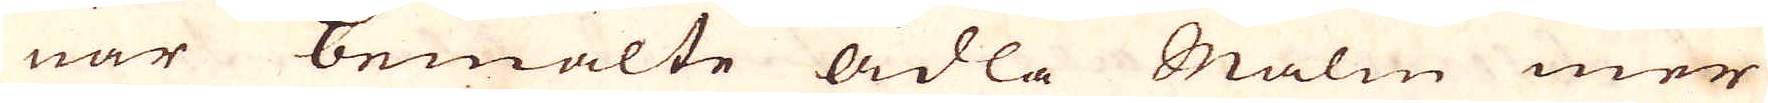när bemälte ädla Malm mer
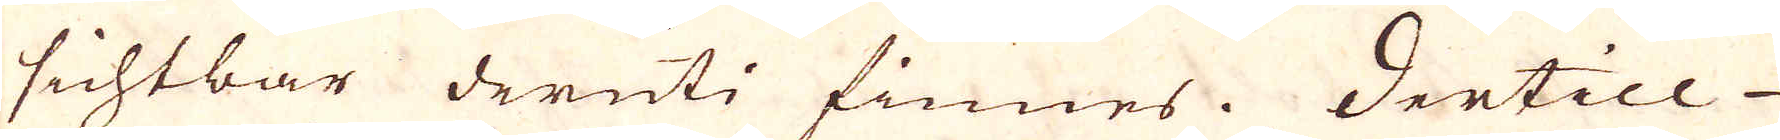sichtbar deruti finnes. Dertill
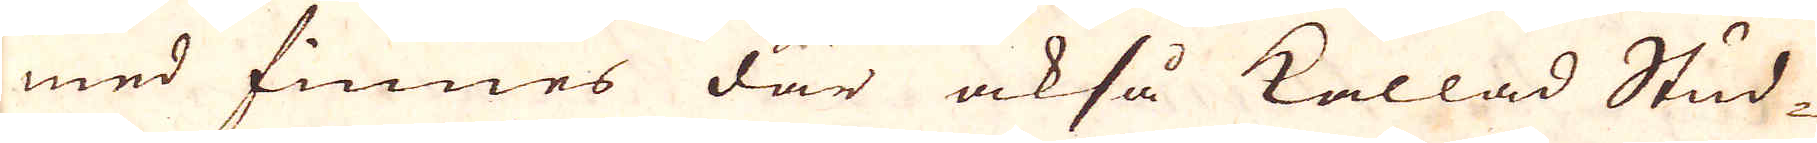med finnes där ock så kallad Stud-
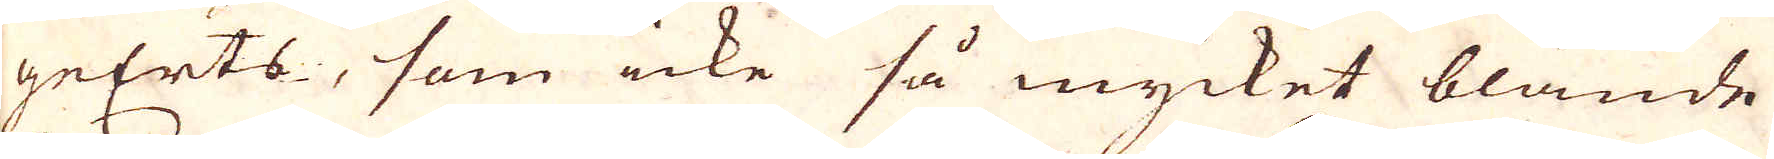geErts, som icke så mycket blände
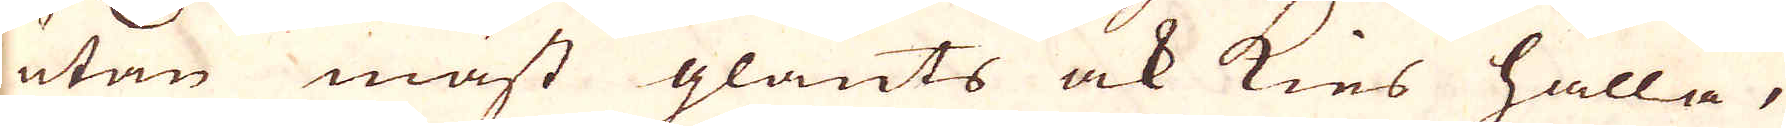utan mäst glants ock kies hålla,
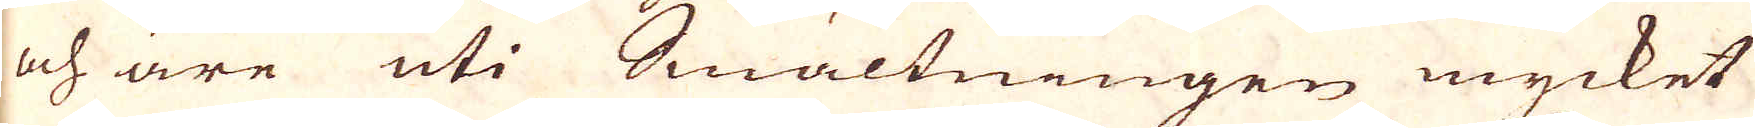och äre uti Smältningen mycket
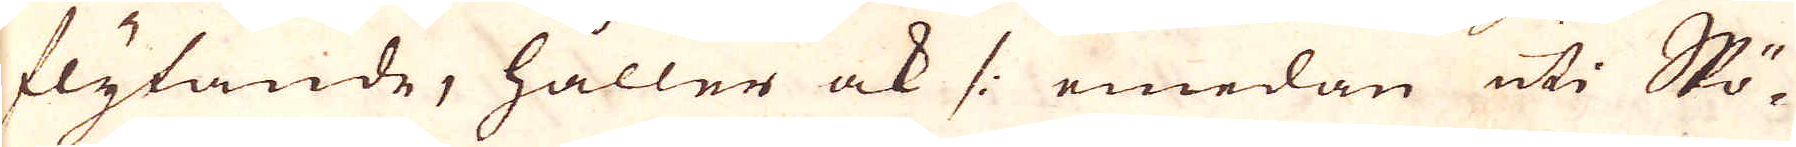flytande, håller ock /: emedan uti Skö-
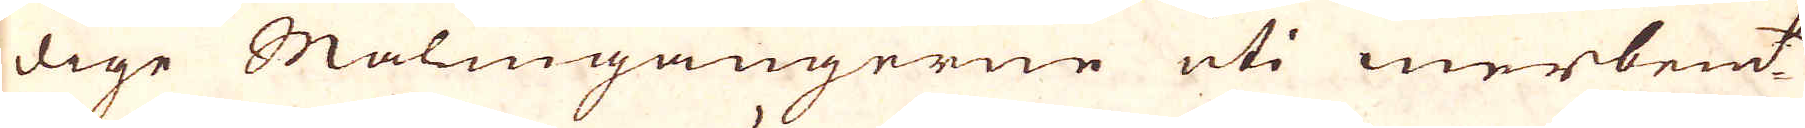dige Malmgångerne uti merbem:t
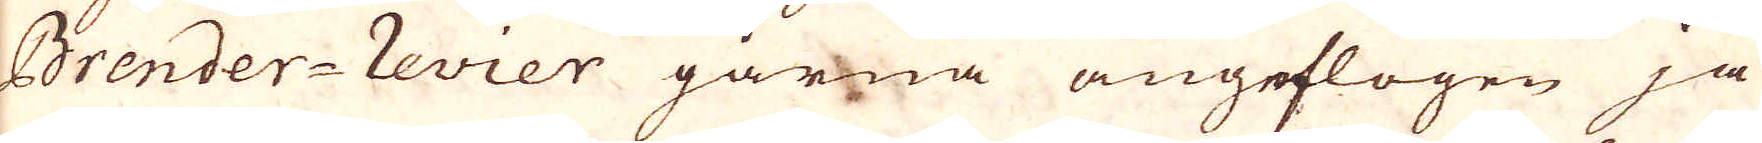Brender-revier gärna angeflogen ja
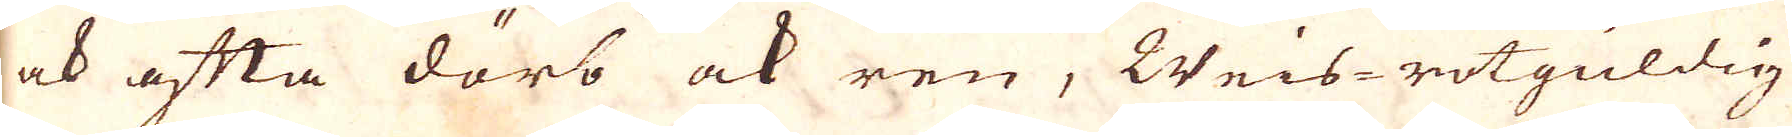ock ofta däro ock ren, Weis-rotguldig
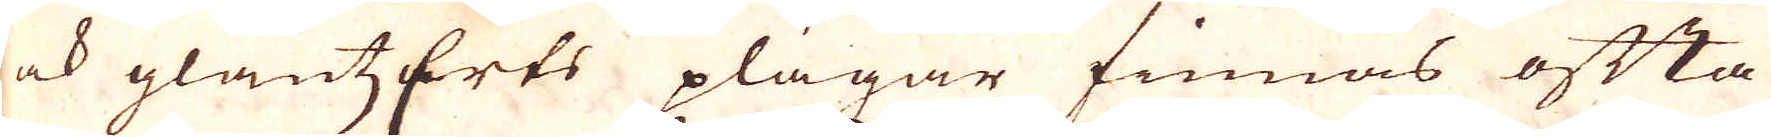ock glantzErts plägar finnas ofta
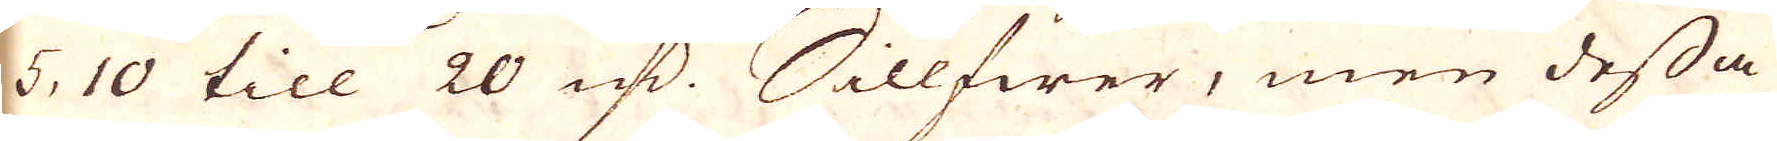5. 10 till 20 marker. Sillfwer, men dessa
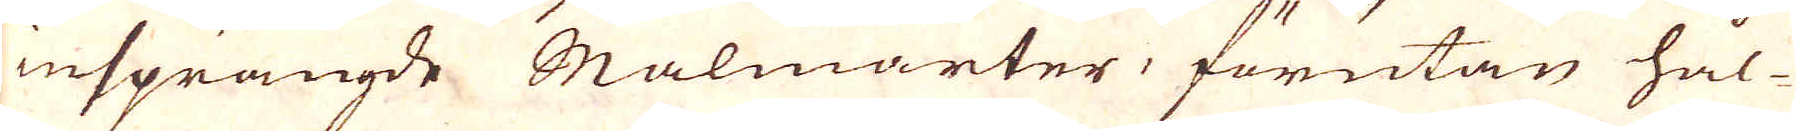insprängde Malmarter förutan hål-
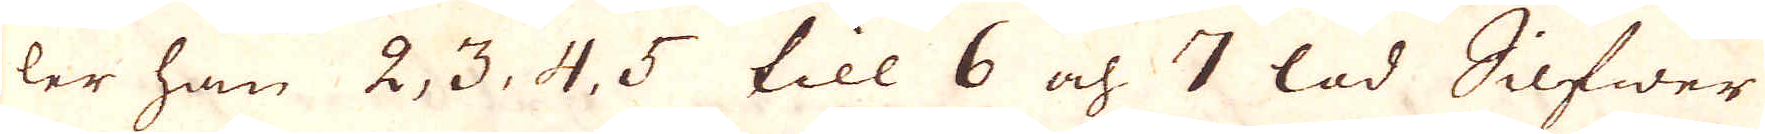ler han 2, 3, 4, 5 till 6 och 7 lod Silfwer
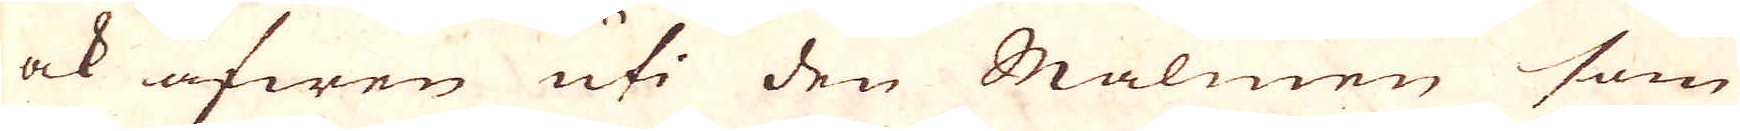ock äfwen uti den Malmen som
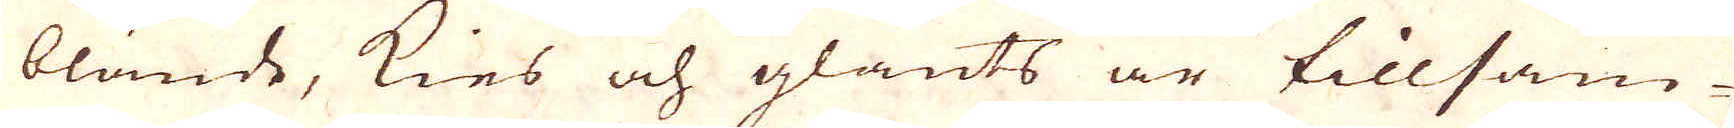blände, kies och glants är tillsam-
